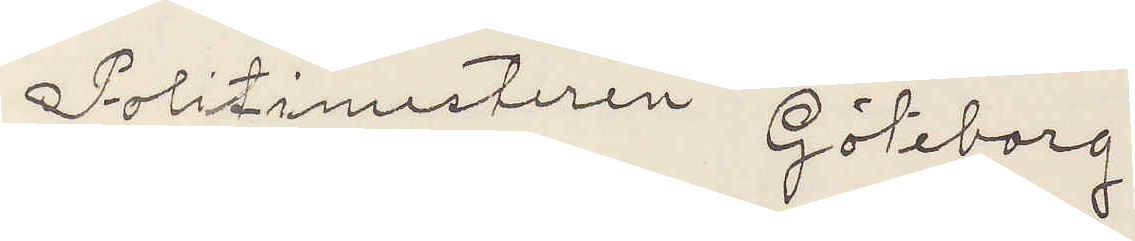Politimesteren Göteborg
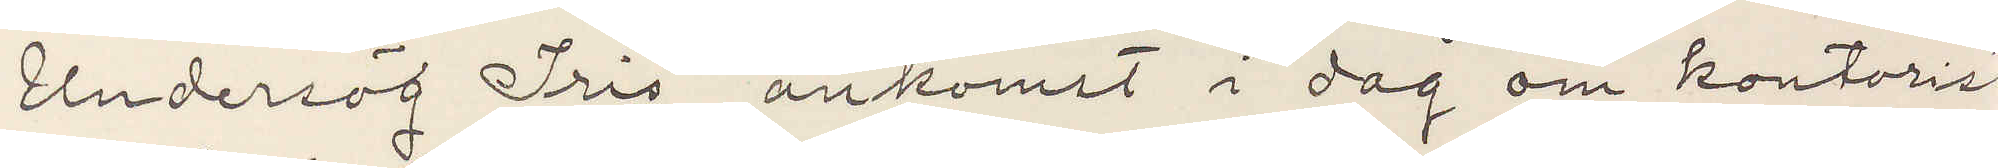Undersög Iris ankomst i dag om kontorist
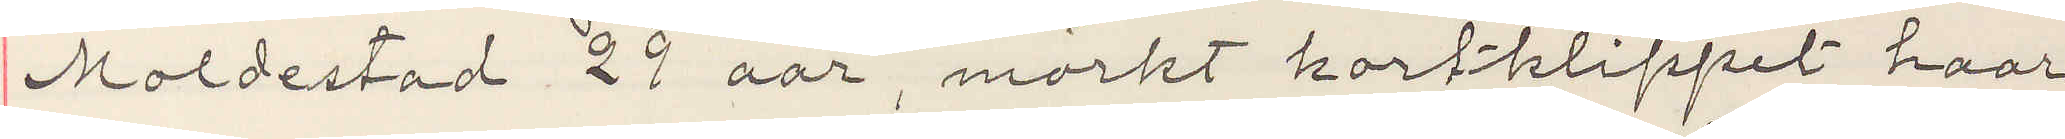Moldestad 29 aar, mörkt kortklippt haar
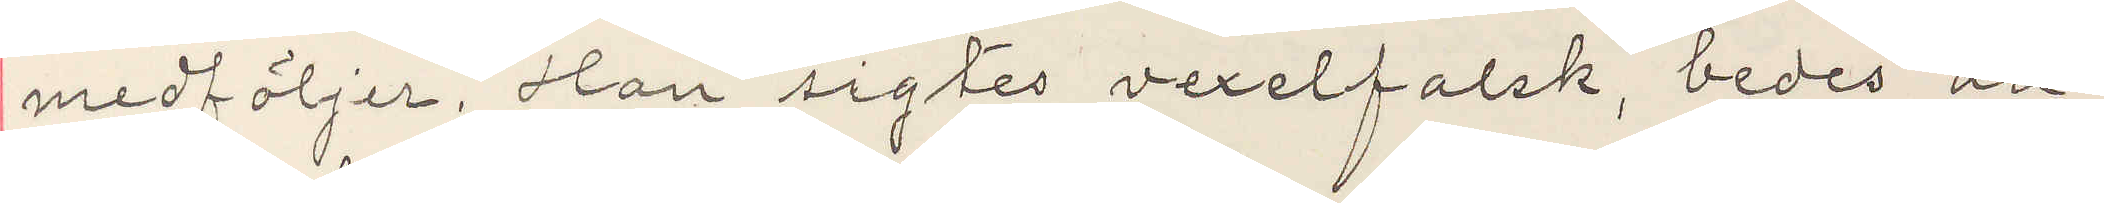medföljer. Han sigtes vexelfalsk, bedes an¬
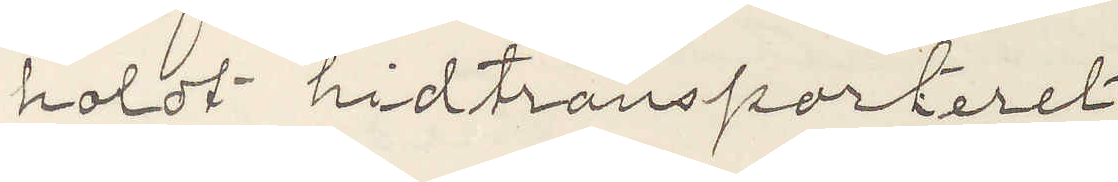holdt hidtransporteret
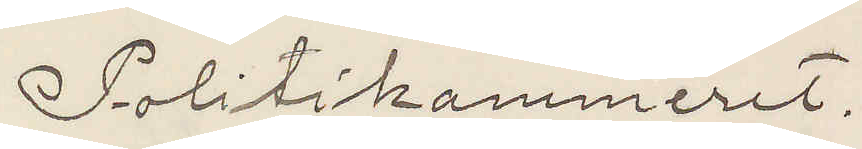Politikammeret.
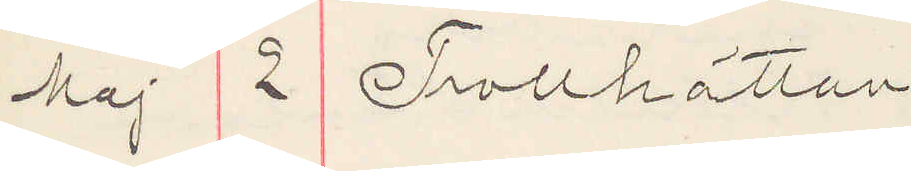Maj 2 Trollhättan
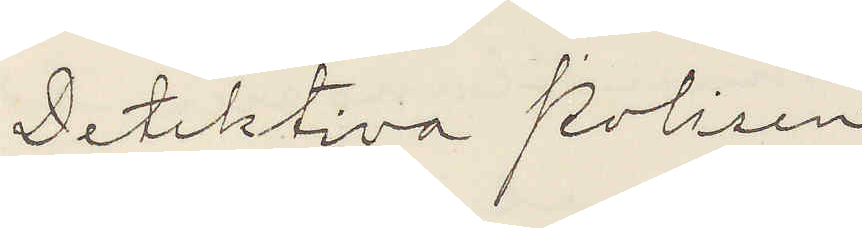Detektiva Polisen
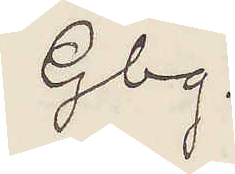Gbg.
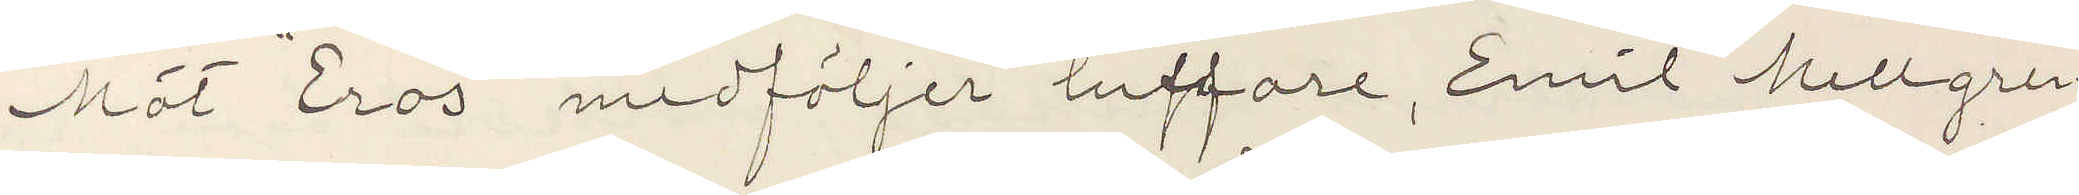Möt "Eros" medföljer luffare, Emil Mellgren
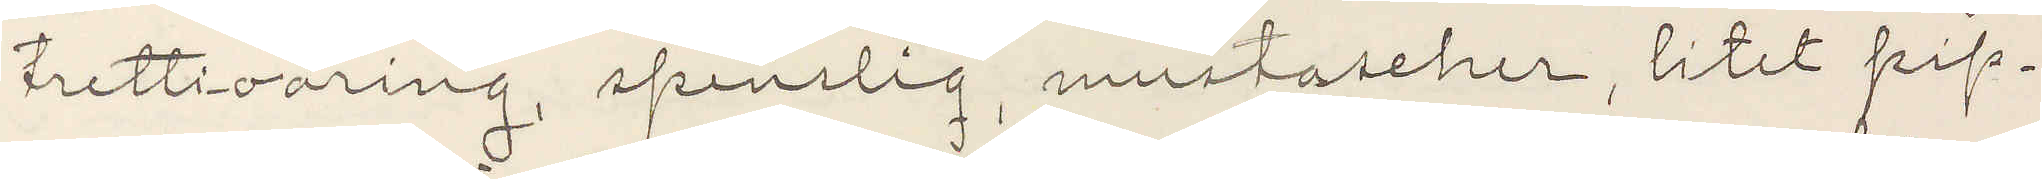trettioaring, spenslig, mustascher, litet pip¬
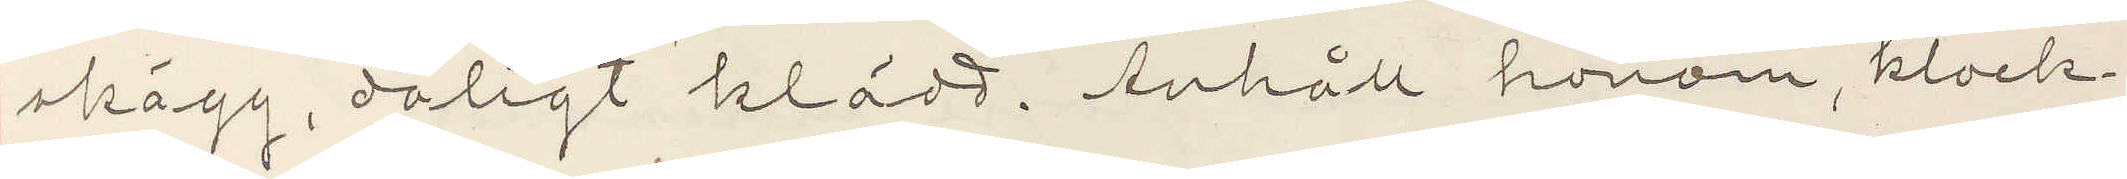skägg, dåligt klädd. Anhåll honom, klock¬
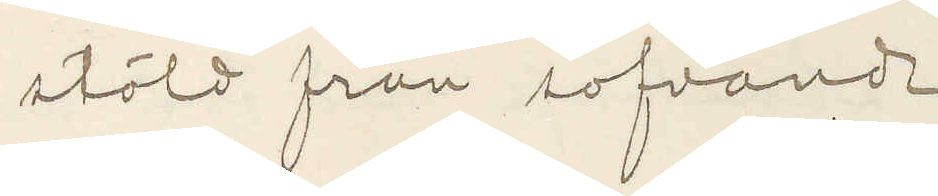stöld från sofvande
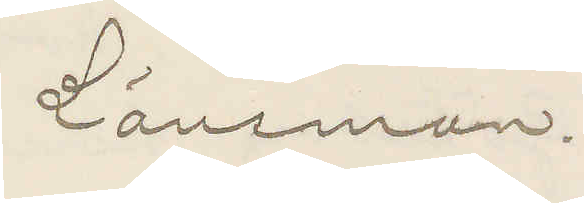Länsman.
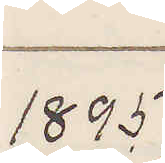1895
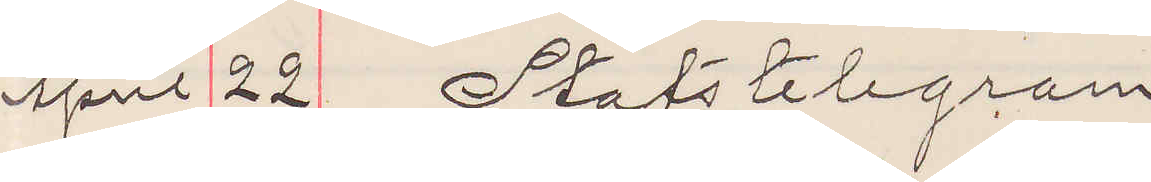April 22 Statstelegram
